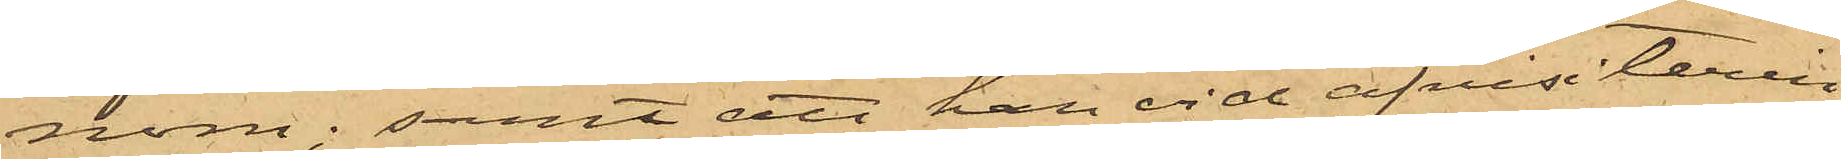nom; samt att han vid afvisiterin¬
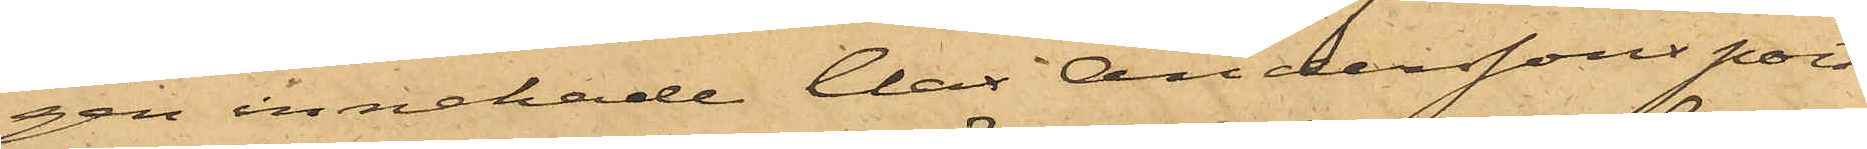gen innehade Clas Anderssons port¬
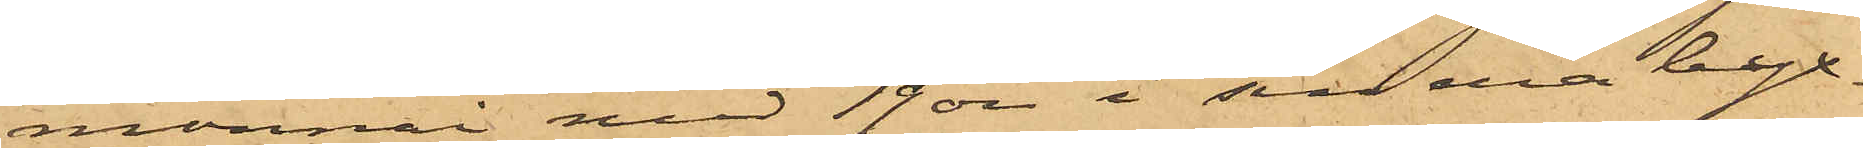monnai med 19 öre i sin ena byx¬
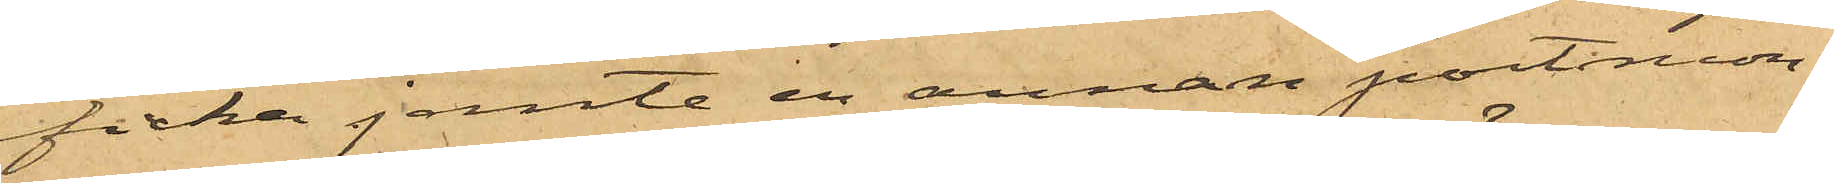ficka jemte en annan portmon¬
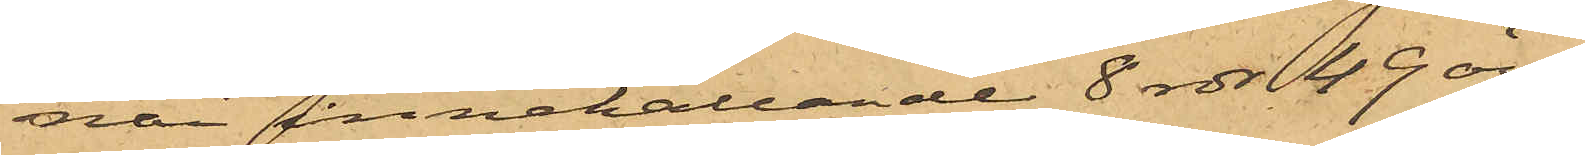nai innehållande 8 rdr 49 öre.
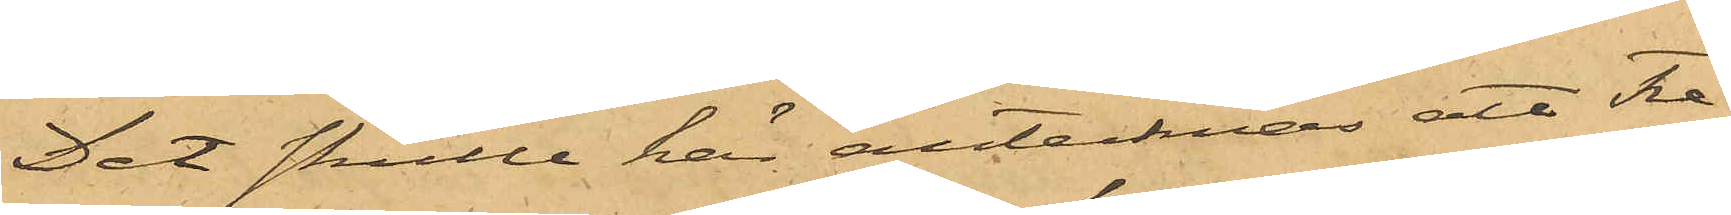Det skulle här antecknas att Fre¬
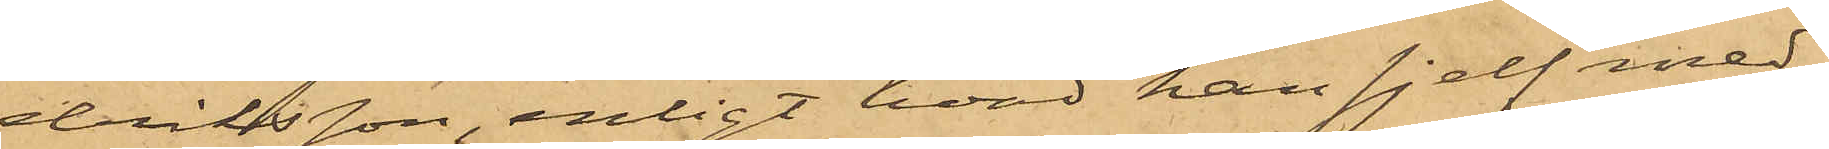driksson, enligt hvad han sjelf med¬
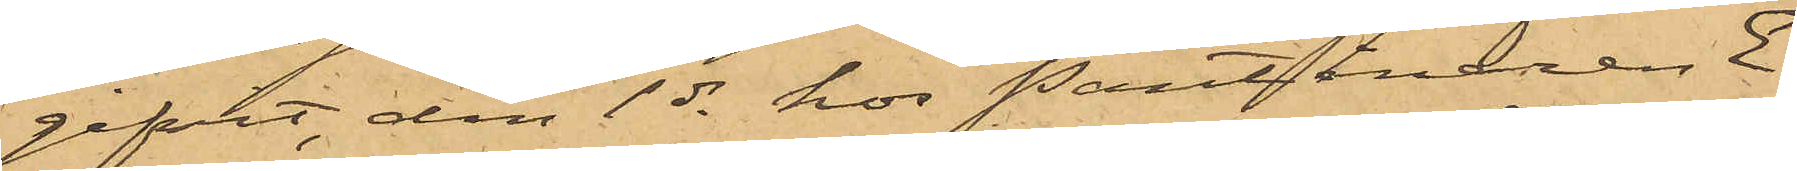gifvit, den 1 ds hos Pantlånaren E.
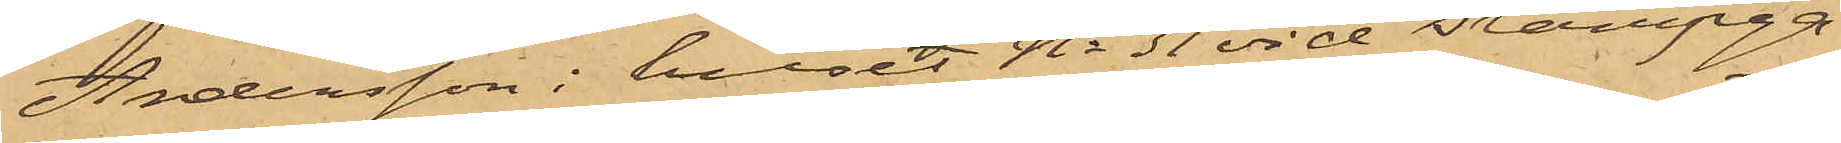Andersson i huset No 31 vid Stampga¬
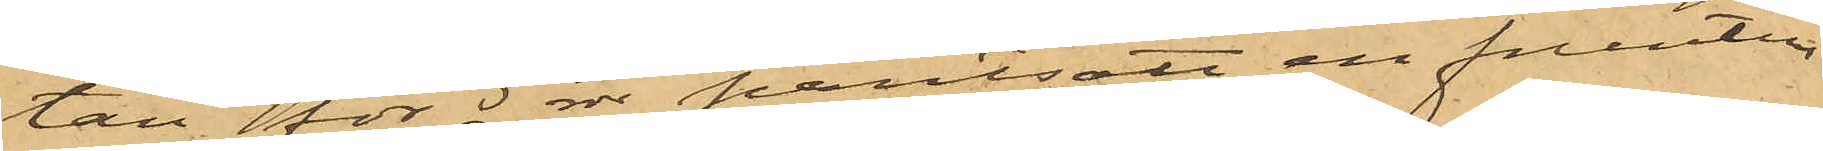tan för 5 rdr pantsatt en fruntim¬
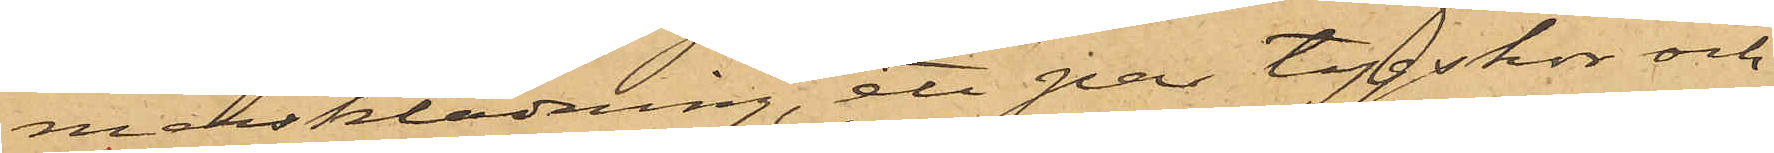mersklädning, ett par tygskor och
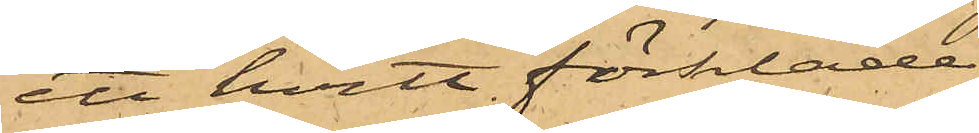ett hvitt förkläde.
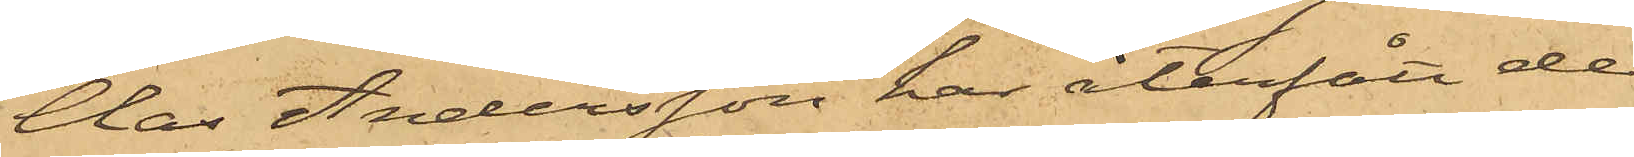Clas Andersson har återfått de
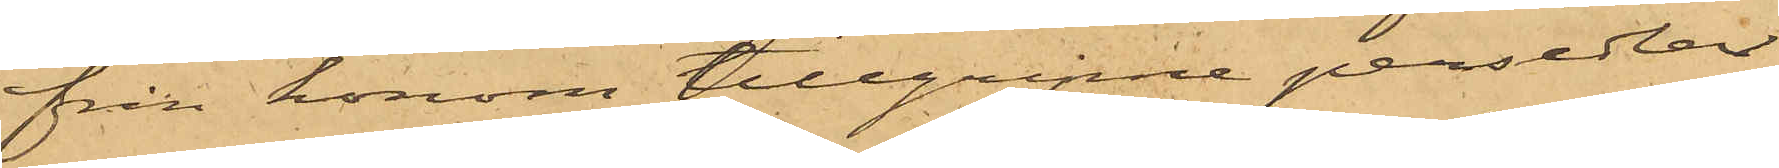från honom tillgripne persedlar
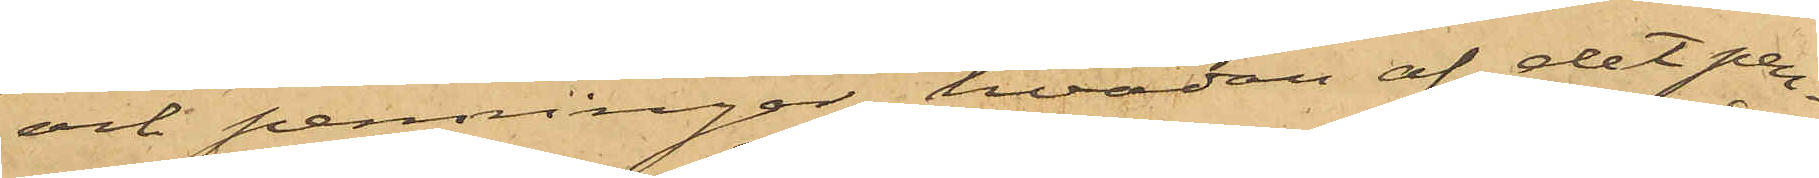och penningar, hvadan af det pen¬
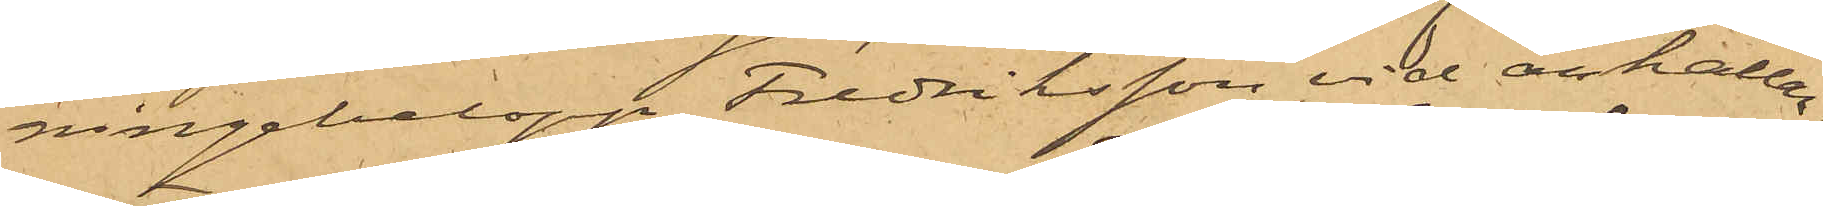ningebelopp Fredriksson vid anhållan¬
